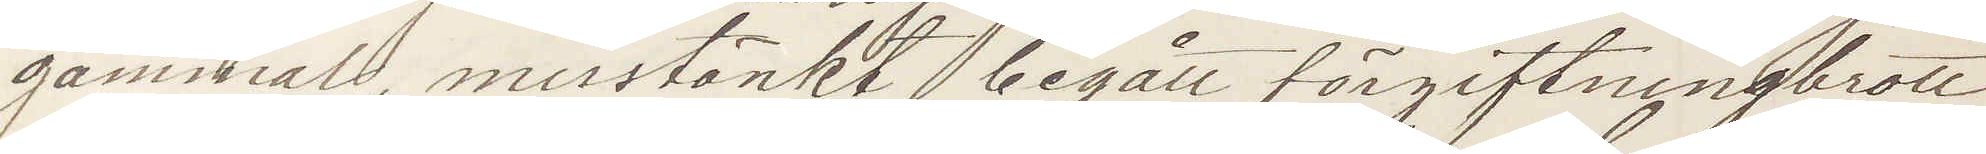gammal misstänkt begått förgiftningsbrott
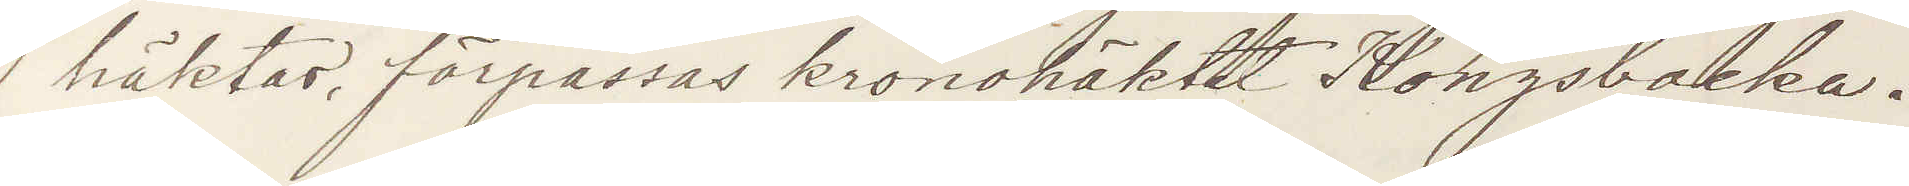häktas, förpassas kronohäktet Kongsbacka.
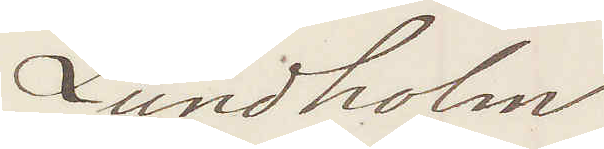Lundholm
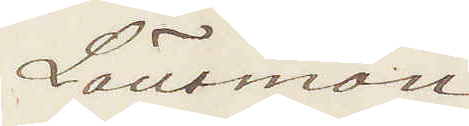Länsman
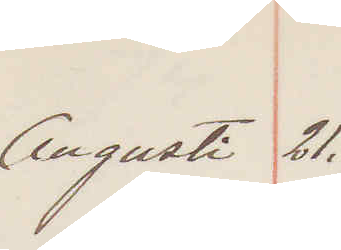Augusti 21.
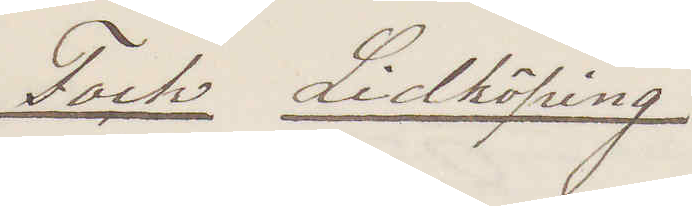Fock Lidköping
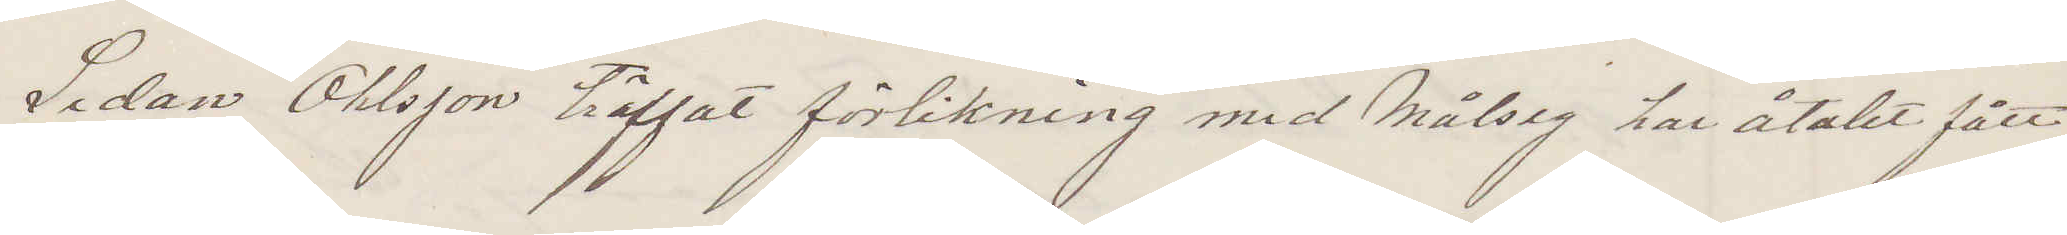Sedan Ohlsson träffat förlikning med Målseg har åtalet fått
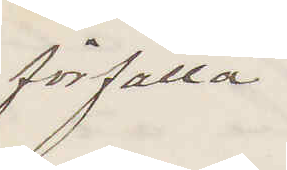förfalla
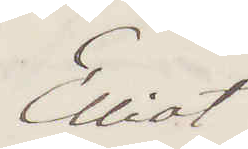Elliot
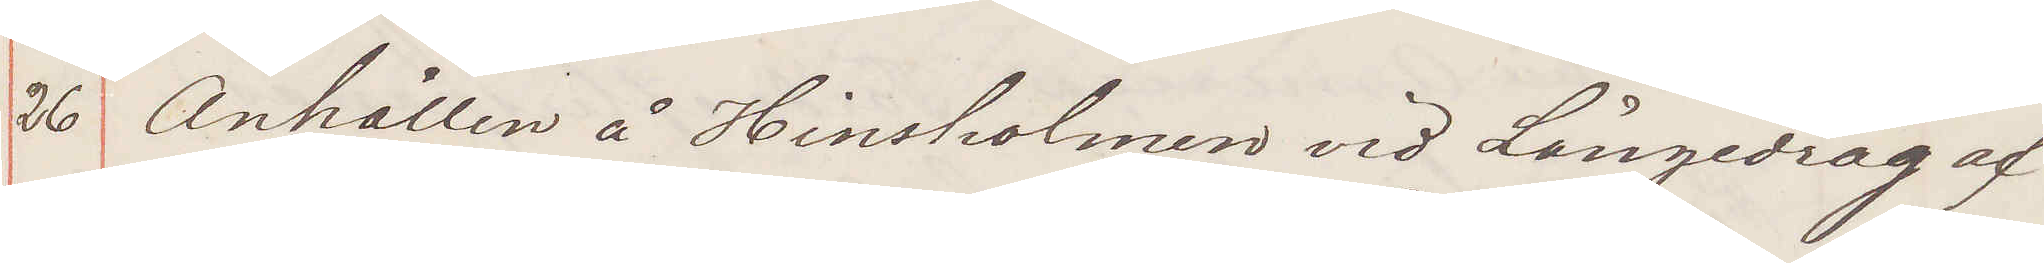26 Anhållen å Hinstaholmen vid Långedrag af
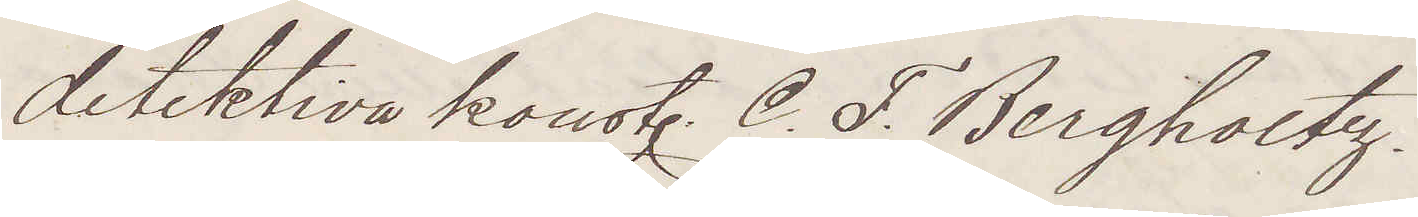detektiva konst C F Bergholtz.
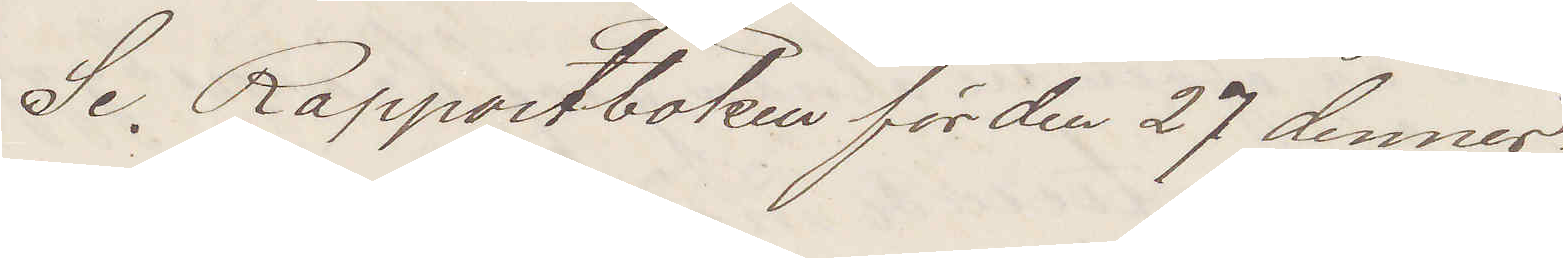Se Rapportboken för den 27 dennes
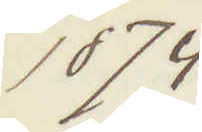1874
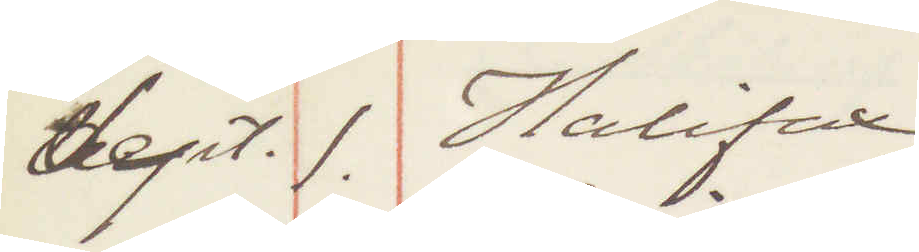Sept. 1. Halifax
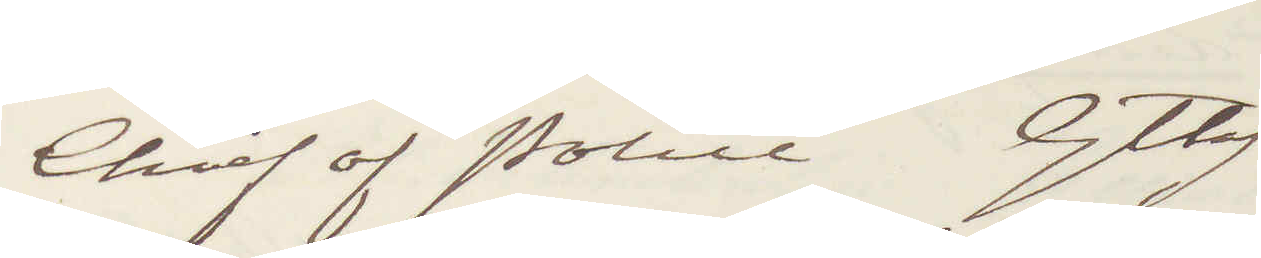Chief of Police Gtbg
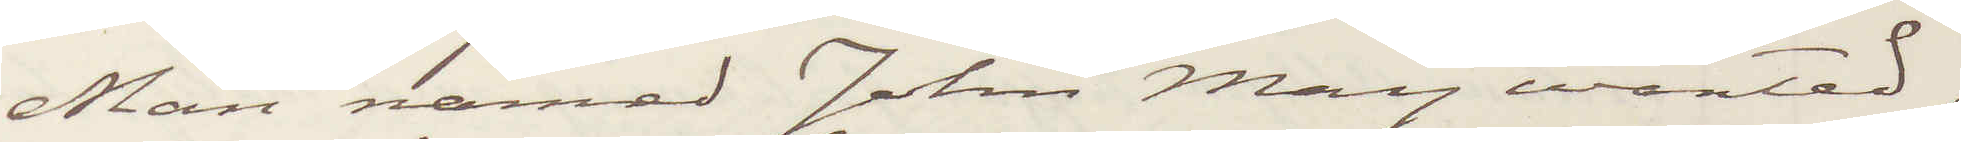Man named Johan May wanted,
